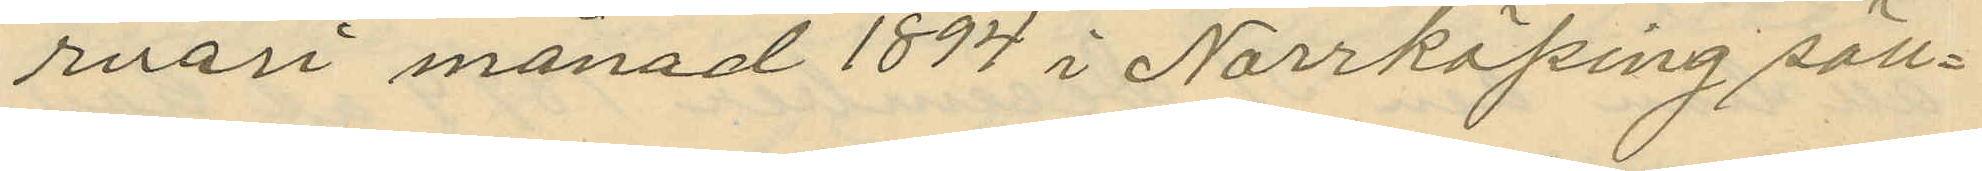ruari månad 1894 i Norrköping säll¬
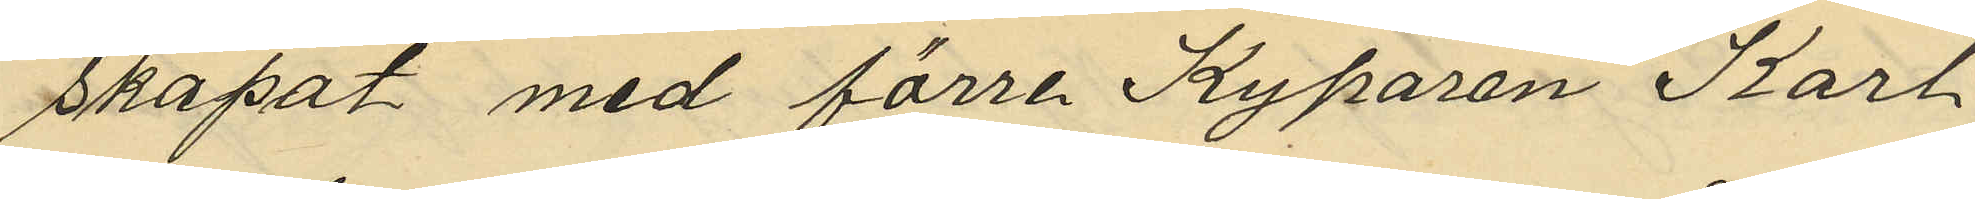skapat med förre Kyparen Karl
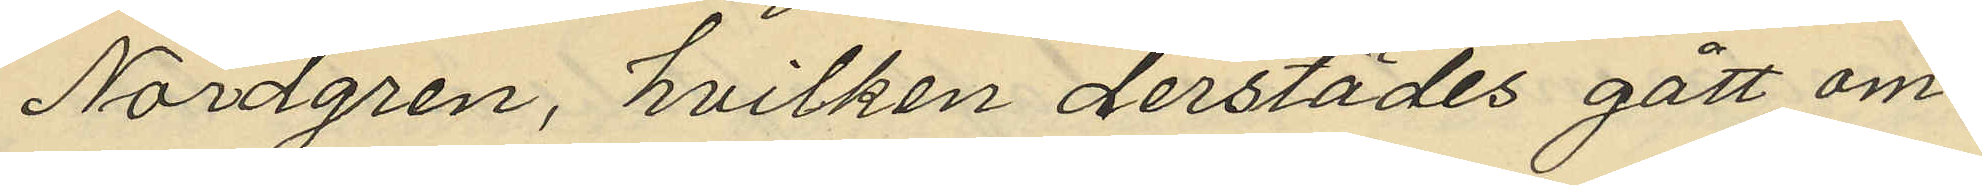Nordgren, hvilken derstädes gått om¬
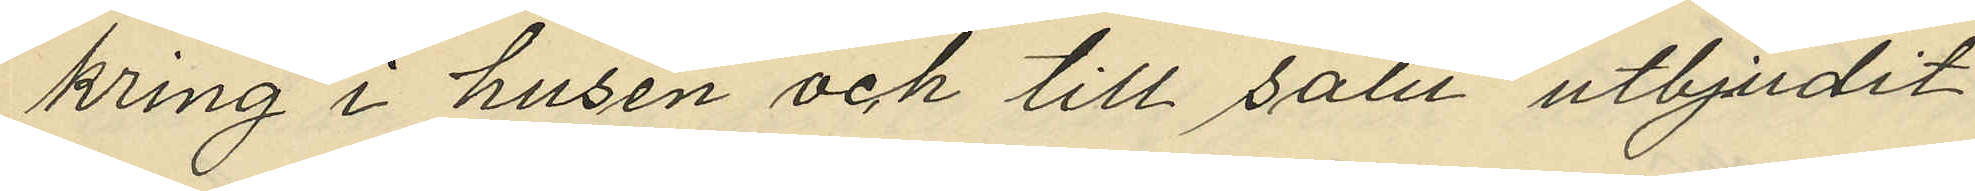kring i husen och till salu utbjudit
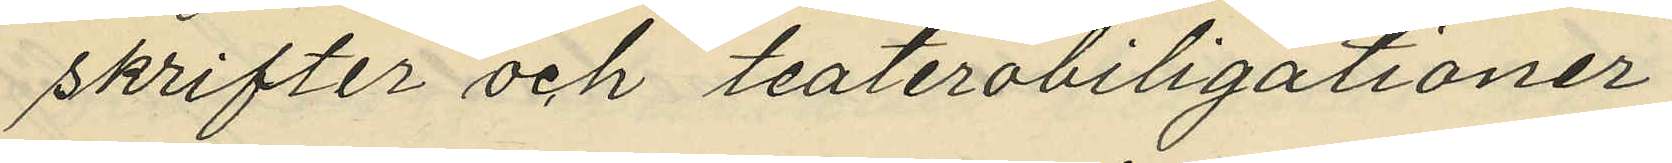skrifter och teaterobiligationer
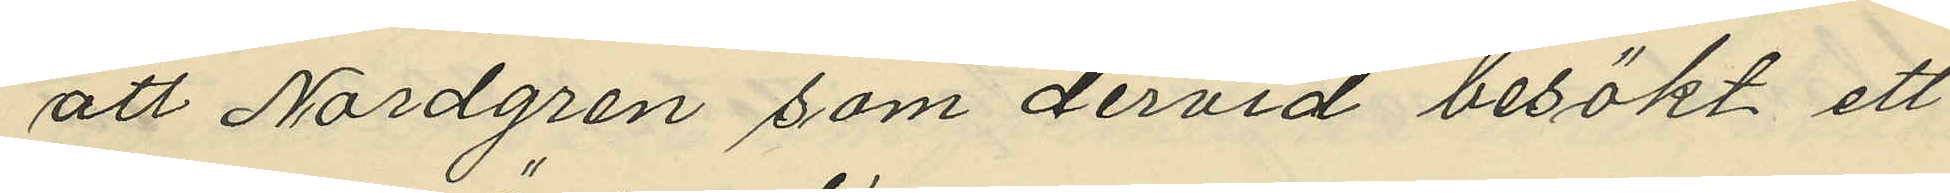att Nordgren som dervid besökt ett
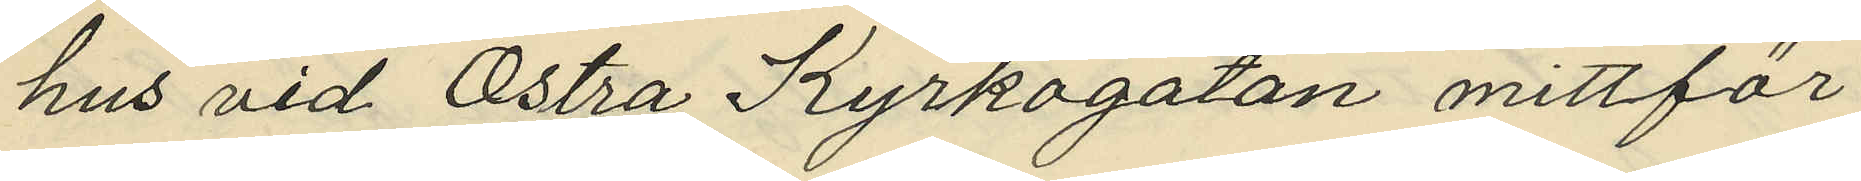hus vid Östra Kyrkogatan mittför
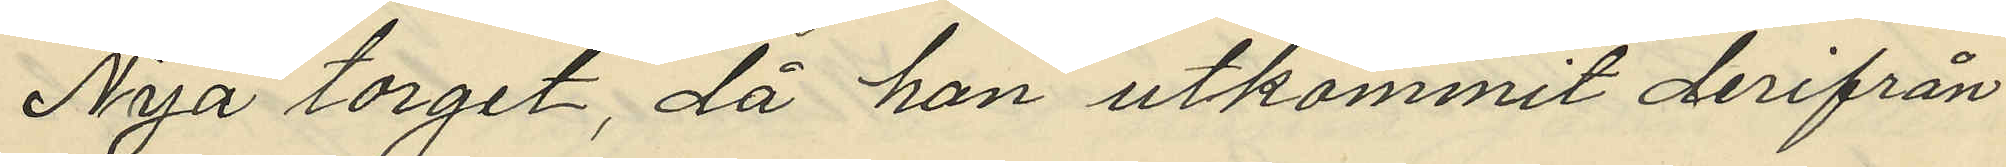Nya torget, då han utkommit derifrån
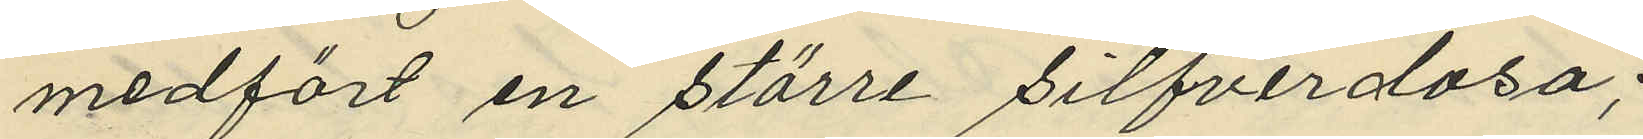medfört en större silfverdosa;
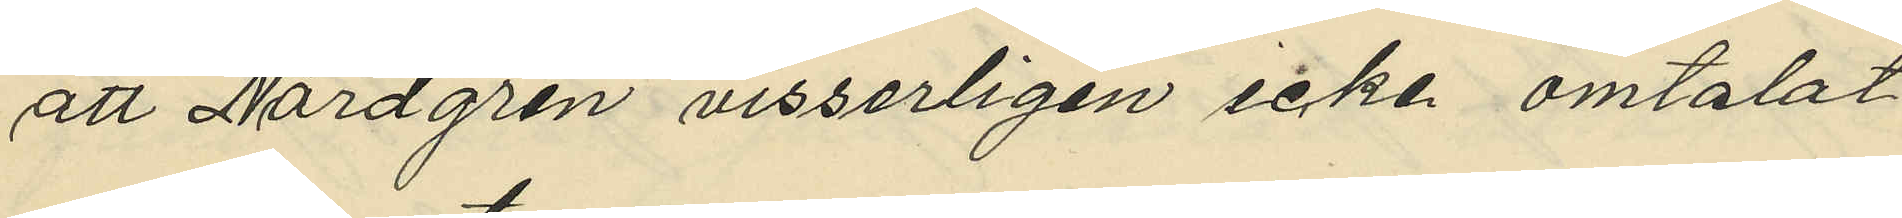att Nordgren visserligen icke omtalat
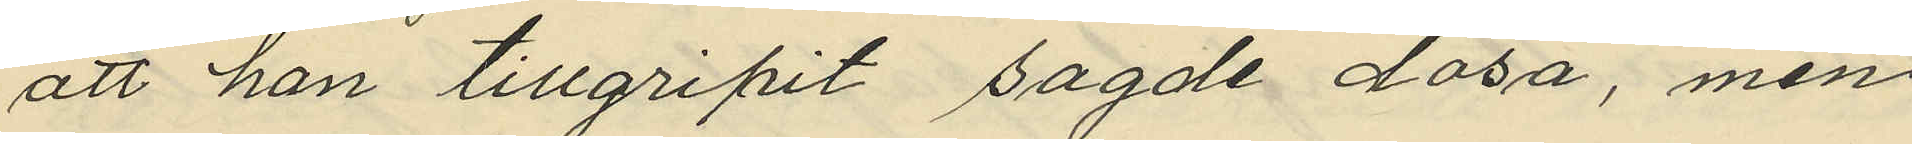att han tillgripit sagde dosa, men
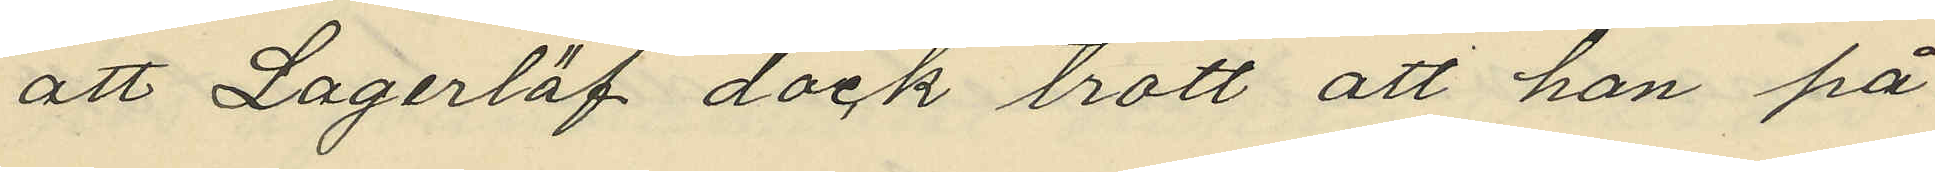att Lagerlöf dock trott att han på
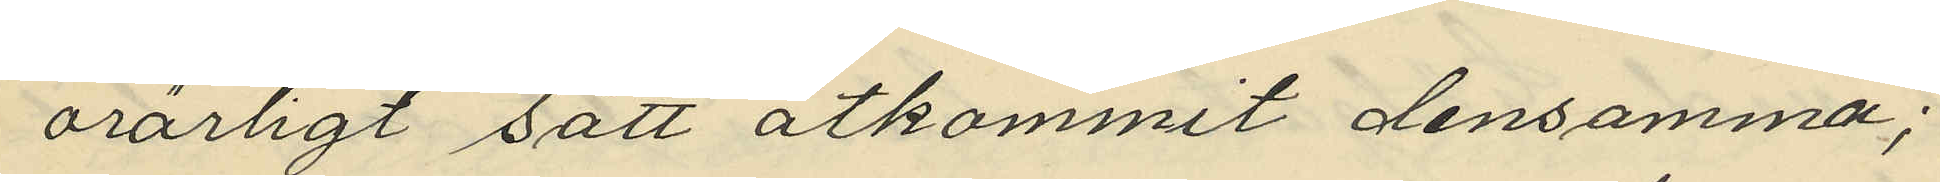oärligt sätt åtkommit densamma;
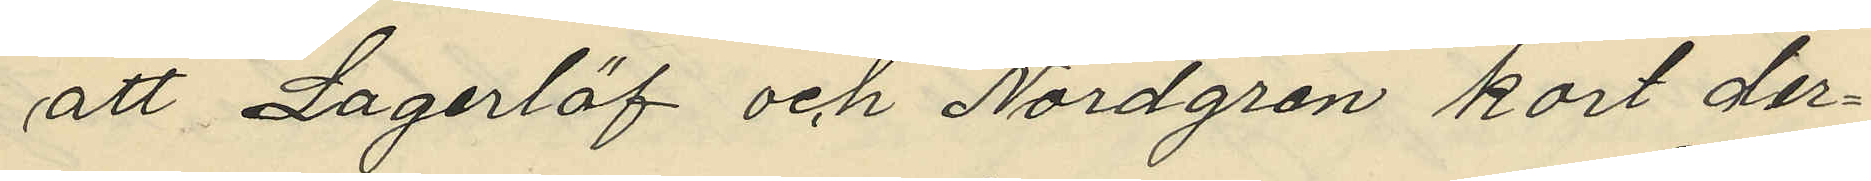att Lagerlöf och Nordgren kort der¬
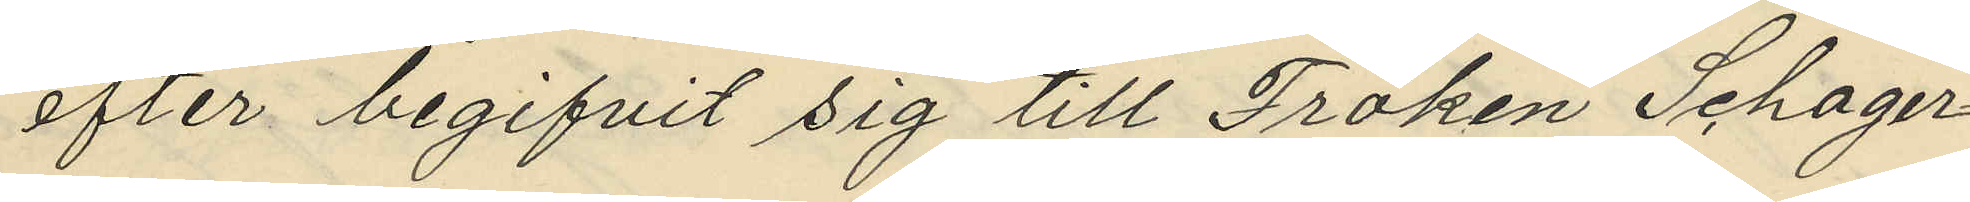efter begifvit sig till Fröken Schager¬
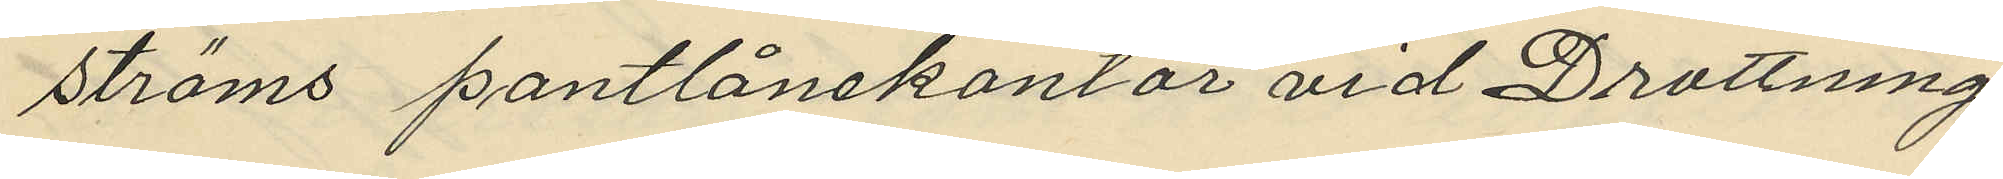ströms pantlånekontor vid Drottning¬
